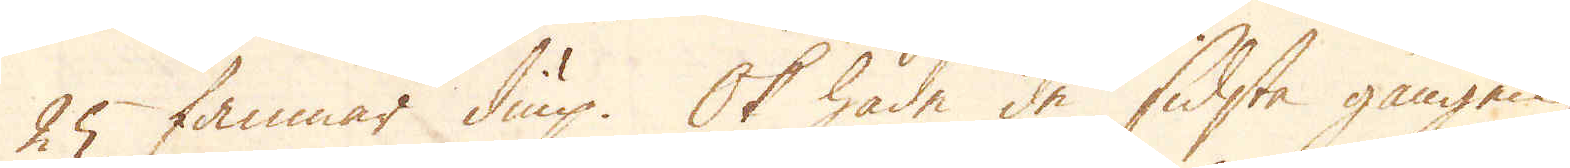25 famnar diup. Ok hade de sidsta gången,
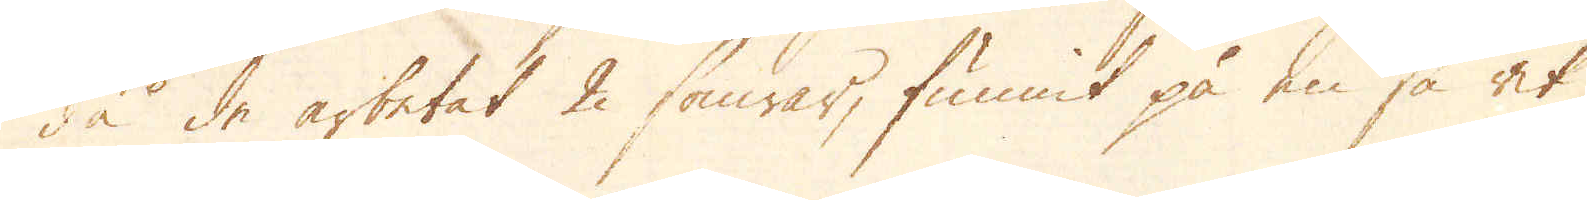då de arbetat 2 somrar, funnit på en så rik
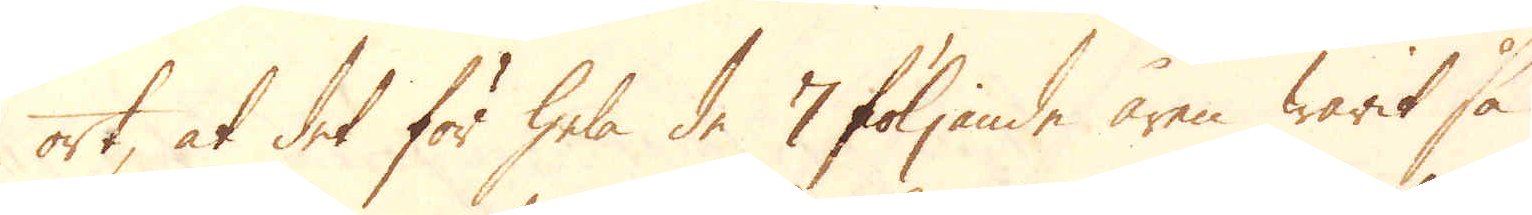ort, at det för hela de 7 följande åren warit så
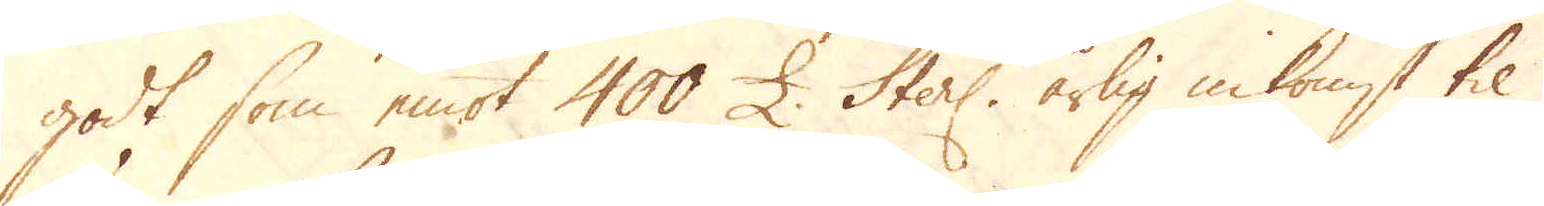godt som emot 400 £ Sterl. årlig inkomst til
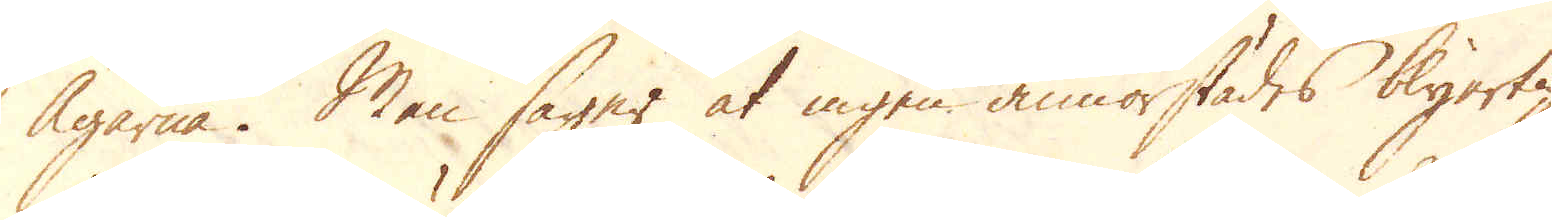Ägarna. Man säyer at ingen annorstädes blyerts
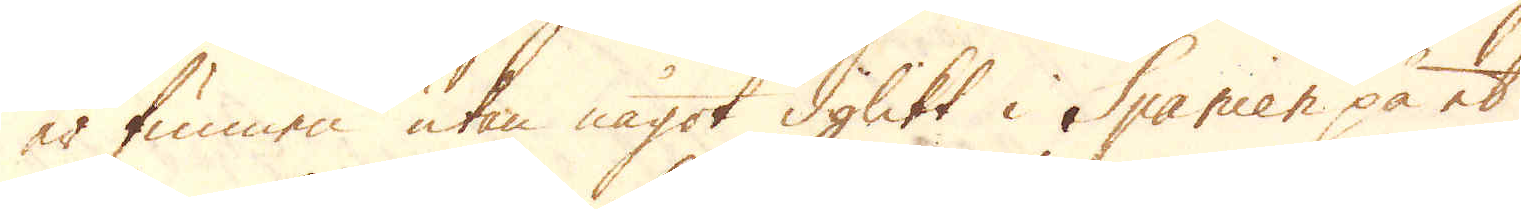är finare utan något dylikt i Spanien på ett
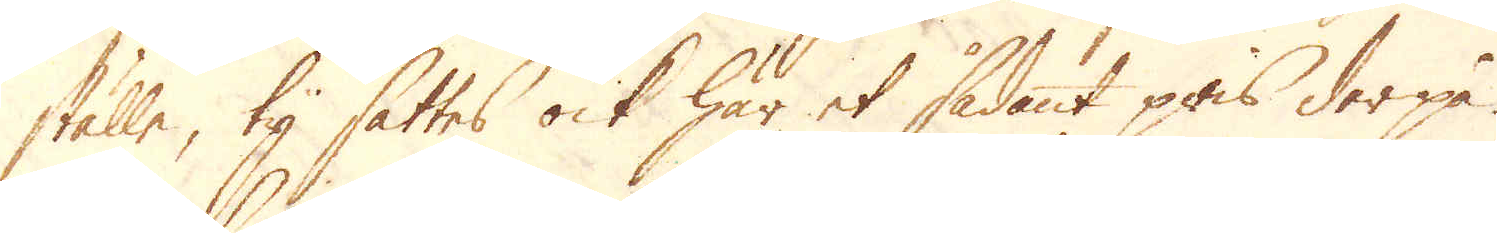ställe, ty fattas ock här et sådant pris derpå
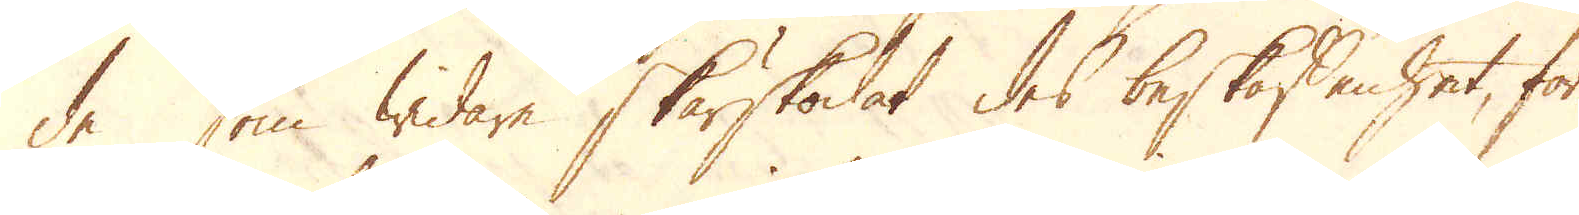de som widare skärskådat dess beskaffenhet, för-
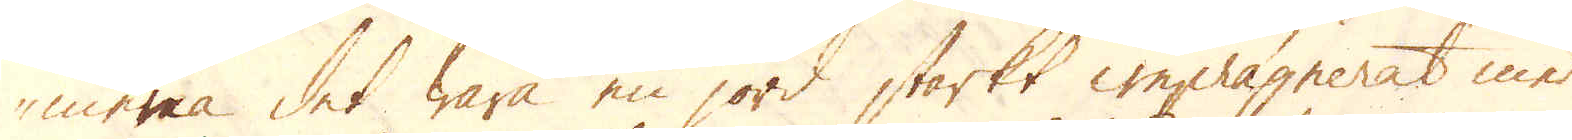nimma det wara en jord starkt imprägnerat med
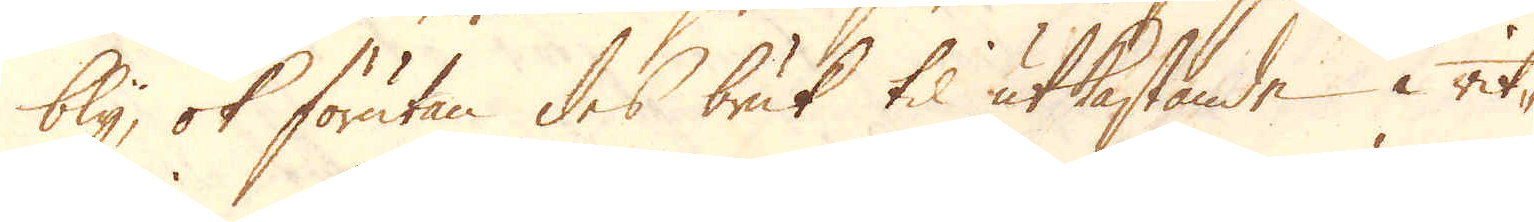bly, ok förutan dess bruk til utkastande å rit-
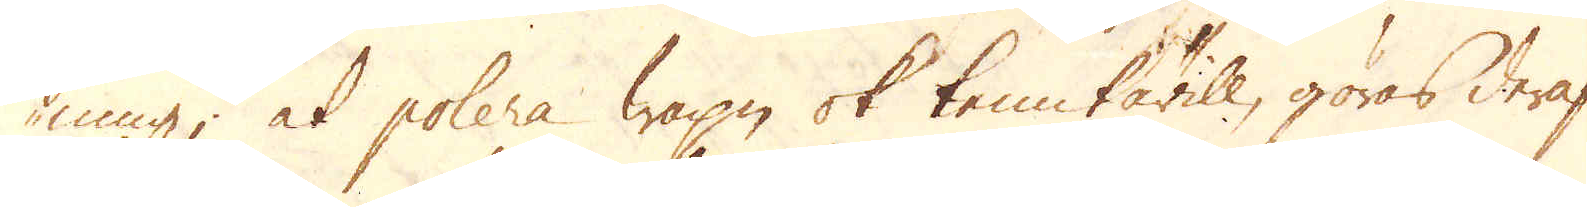ning; at polera Vapn och tenn kärill, göras deraf
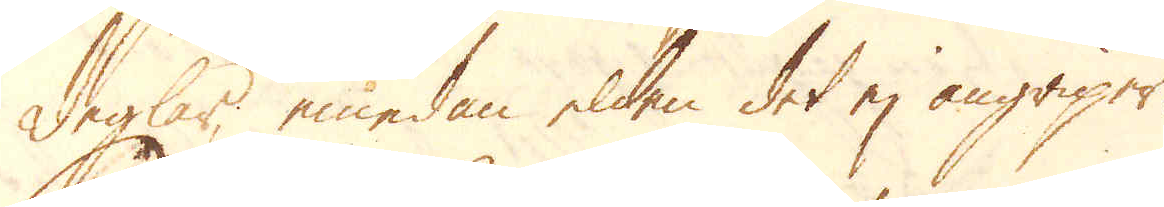deglar emedan elden det ej angriper.
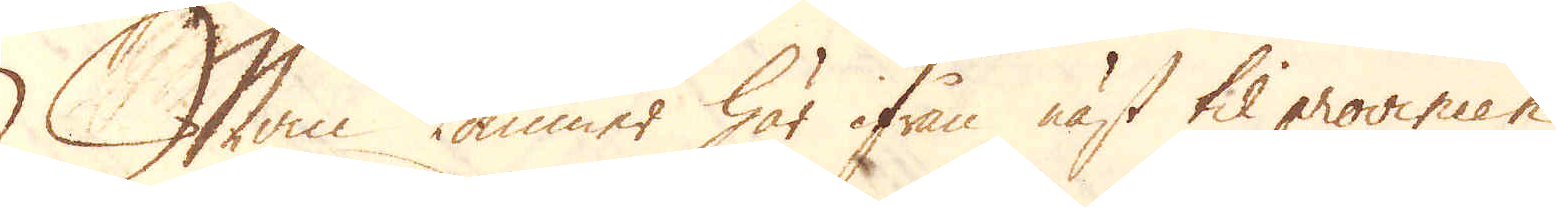Man kommer här ifrån näst til provincen
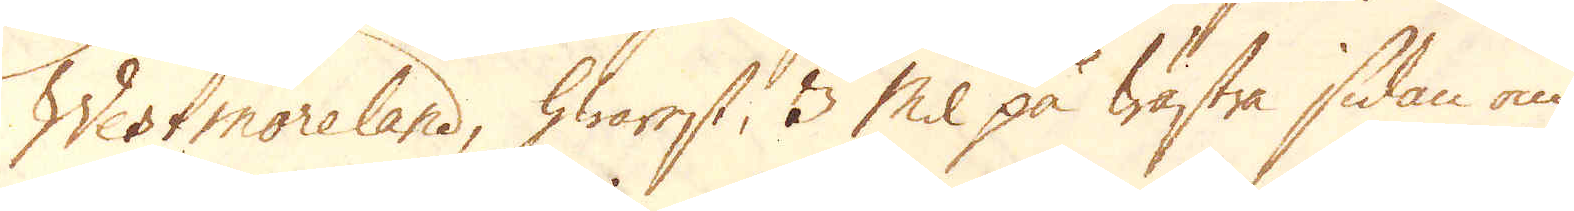Westmoreland, hwarest, 3 Mil på wästra sidan om
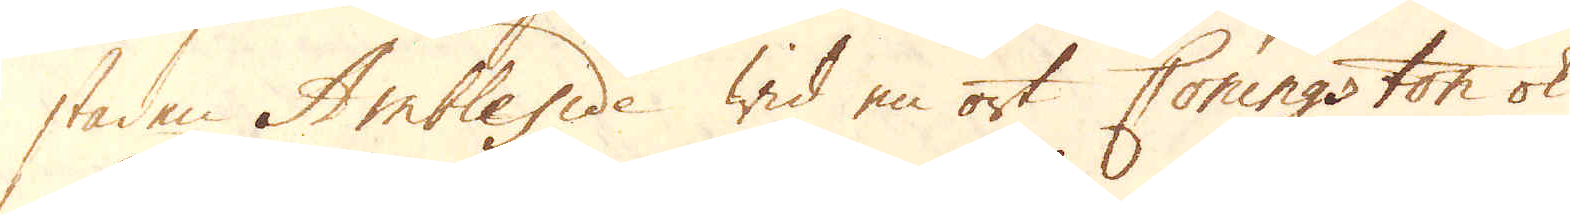staden Ambleside wid en ost Coningston ok
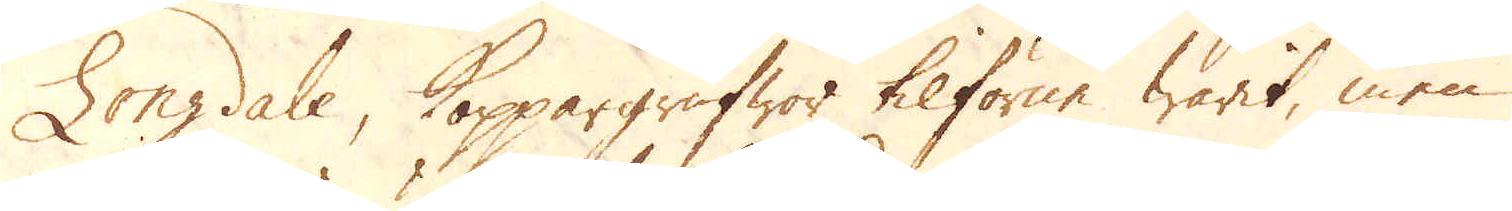Longdale, koppargrufwor tilförne warit, men
